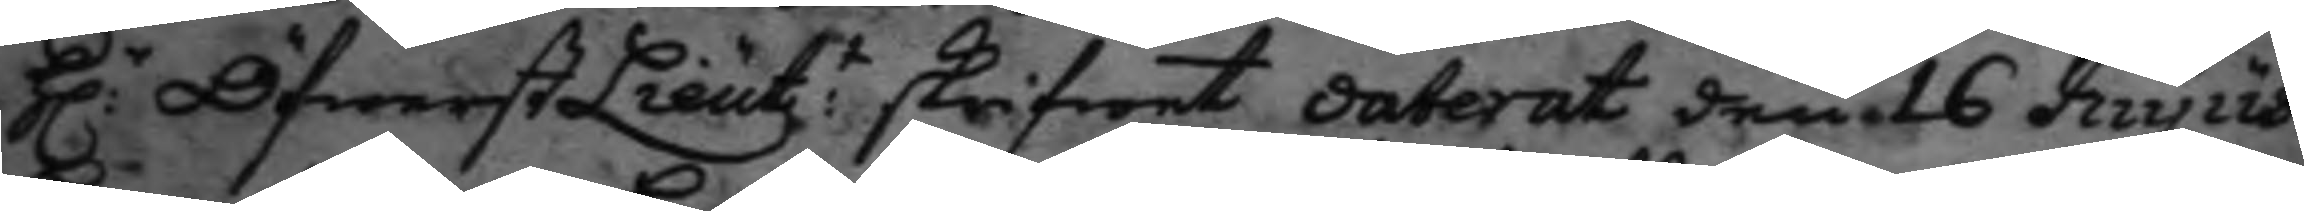H:r Öfwerst Lieut.t skrifwet daterat den 16 huyus 
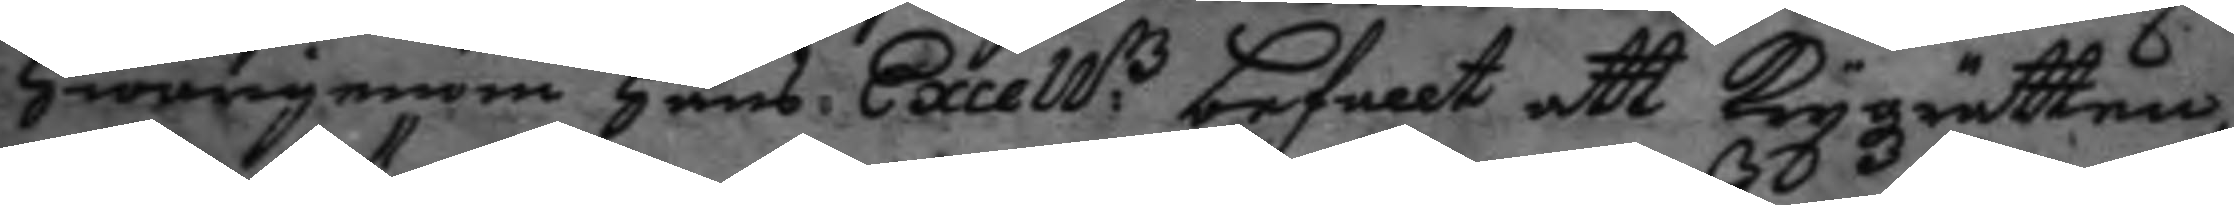hwarigenom hans Excell:z befallt att Krygzrätten 
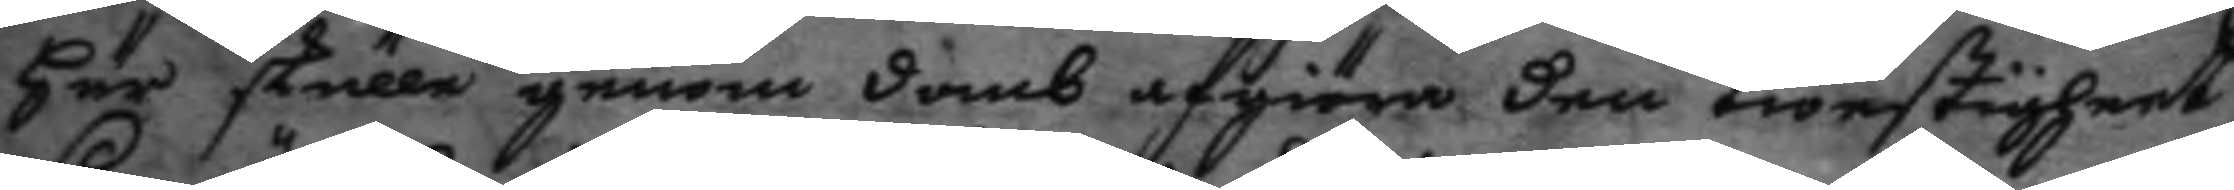här skulle genom domb afgiöra den twestigheet
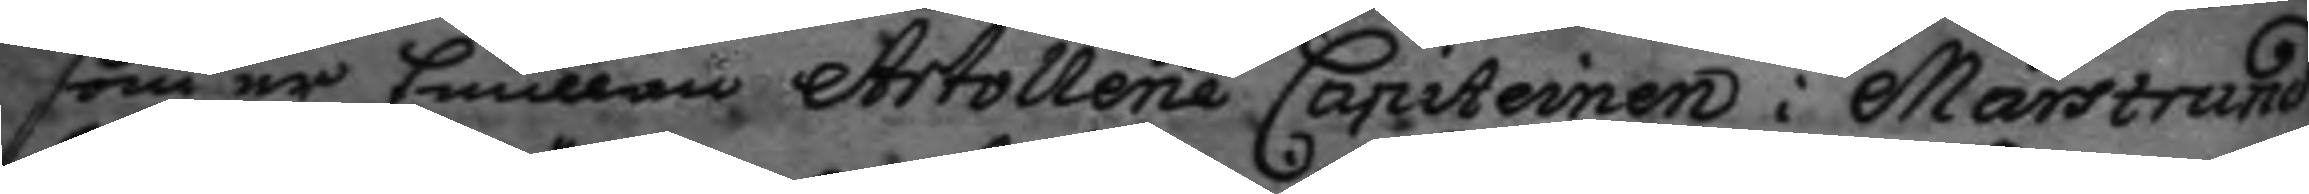som är Emillan Artollerie Capiteinen i Marstrand
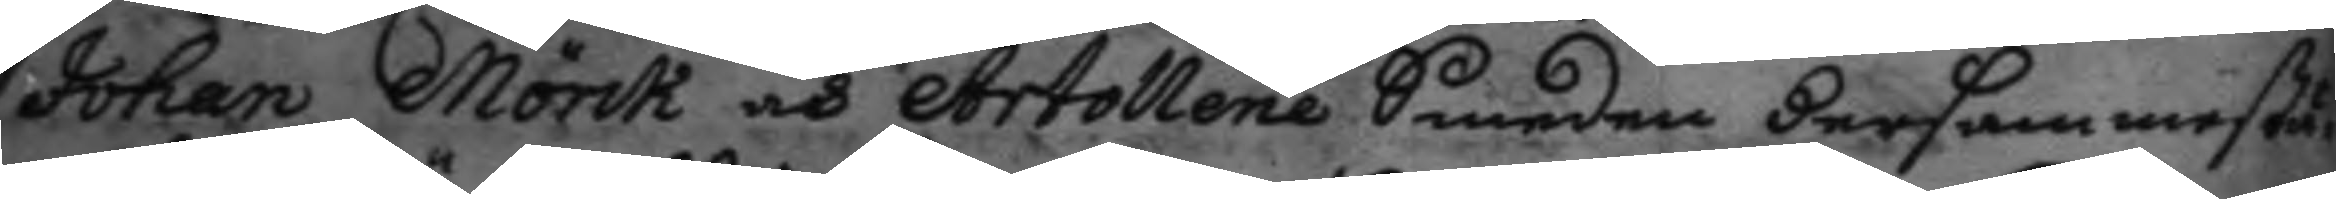Johan Mörck och Artollerie Smeden dersammestä¬
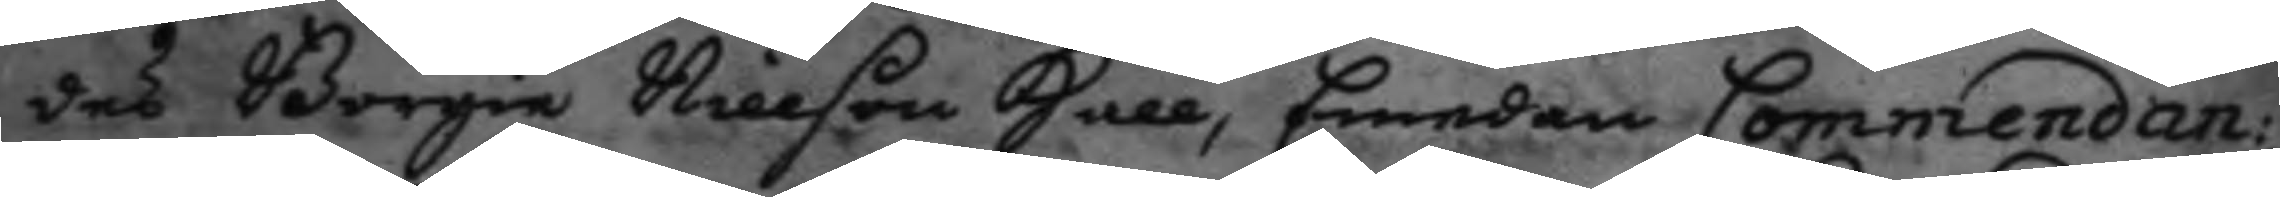des Börgie Nillson Hall, Emedan Commendan¬
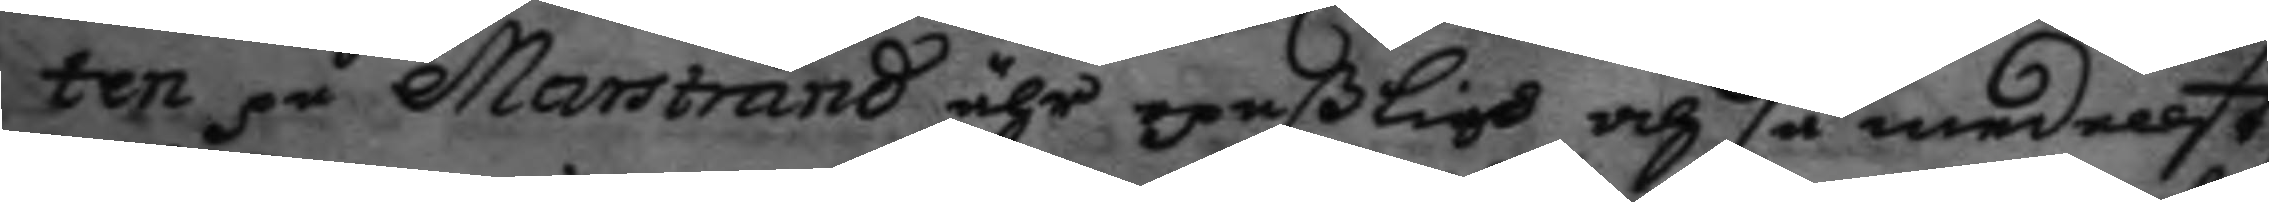ten på Marstrand ähr opaßligh och så medellst
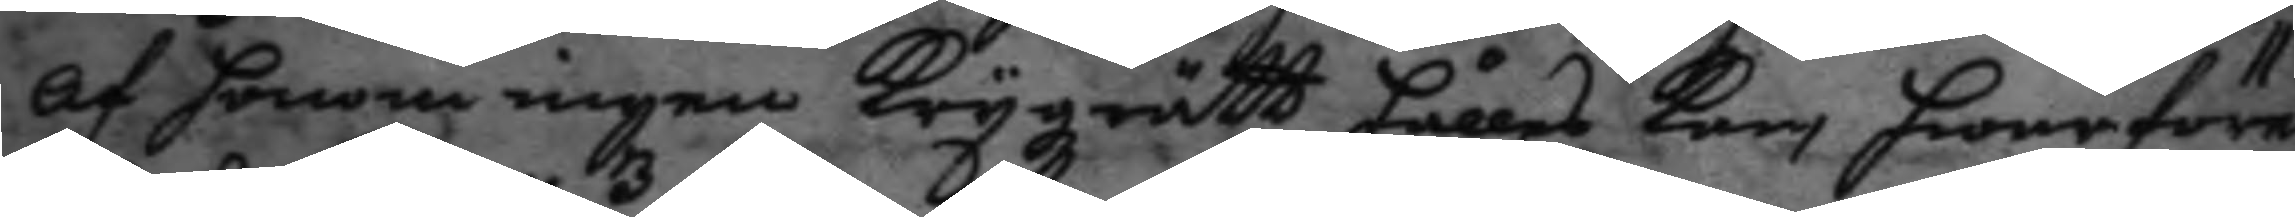af honom ingen Krygzrätt hålles kan, hwarföre
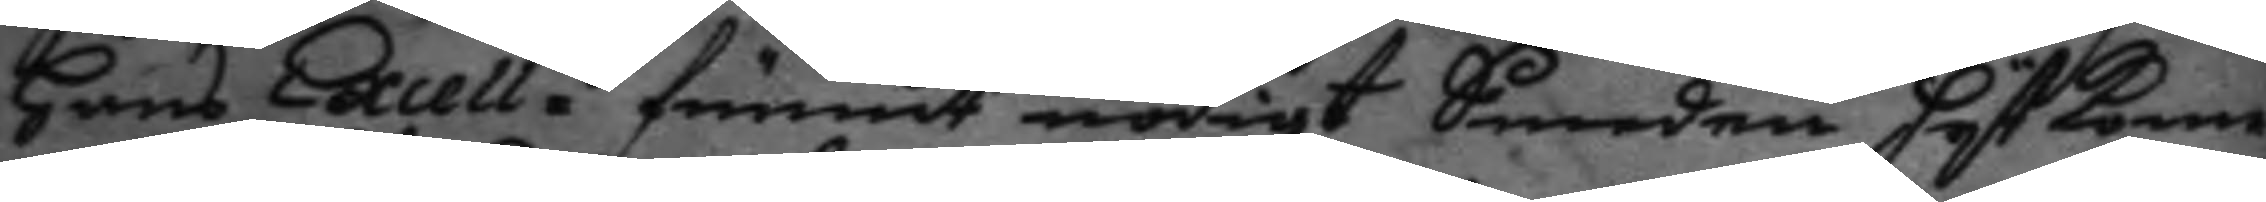hans Excell.z funnit nödigt Smeden hyt kom¬
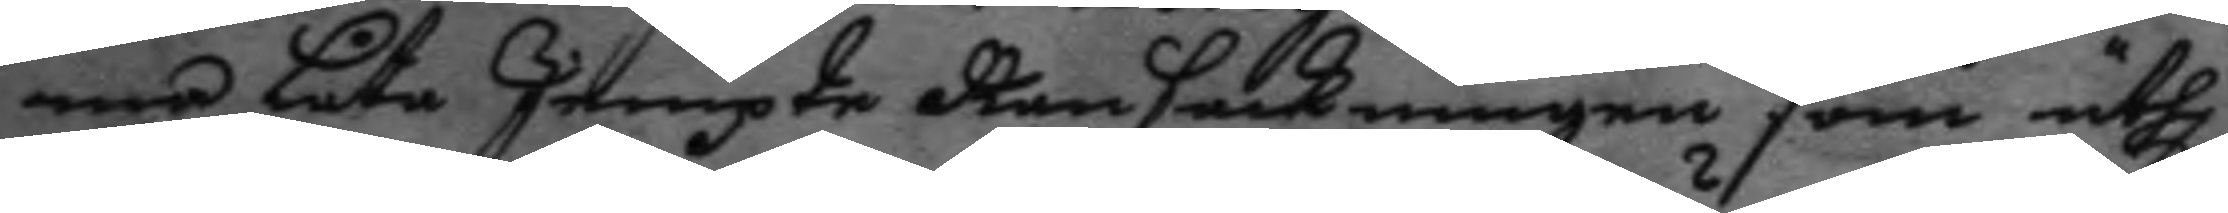ma låta Jempte Ransackningen som uthi
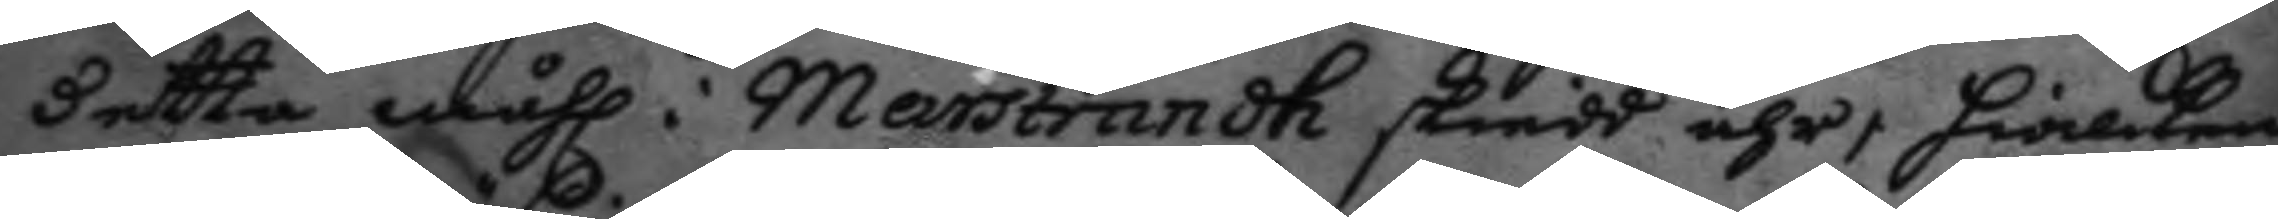detta måhl i Marstrandh skiedd ähr, hwilken
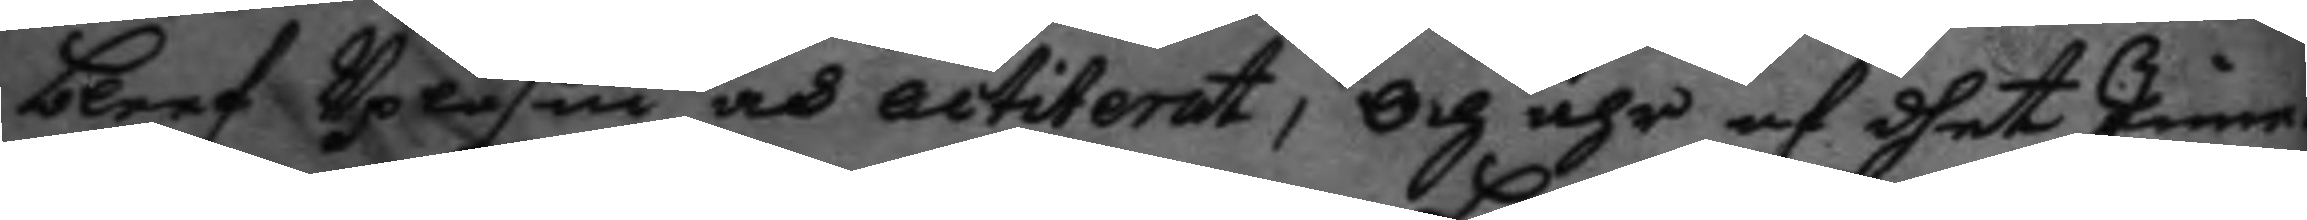bleef Upläsin och actiterat, och ähr af dhet Inne¬
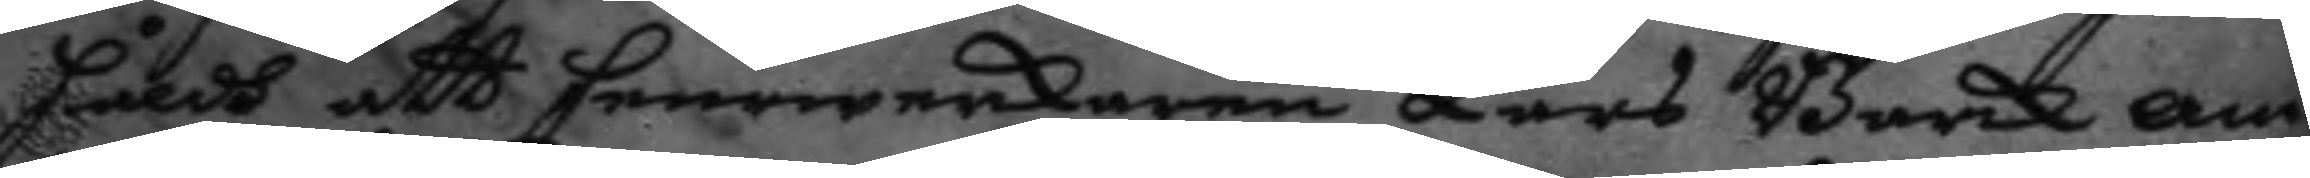håldh att feurwerkaren Lars Barck an¬
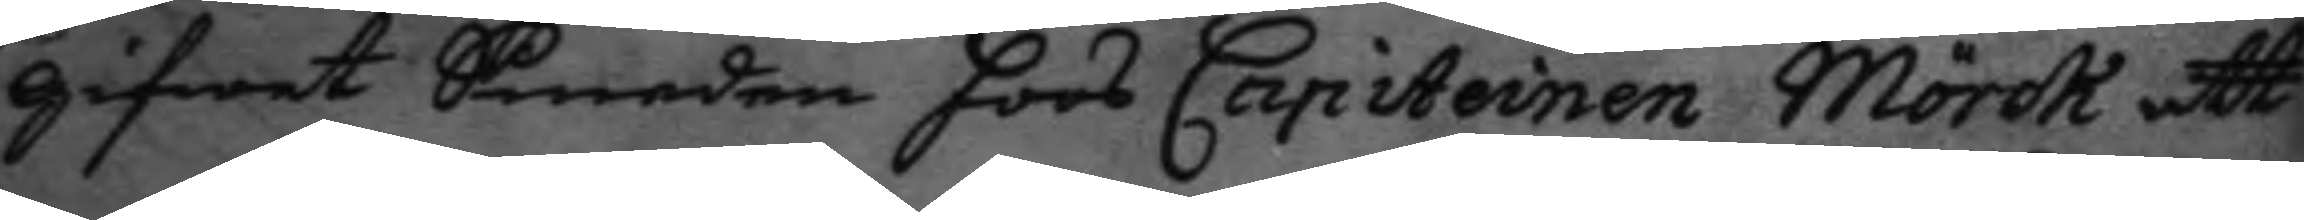gifwet Smeden hoos Capiteinen Mörck att
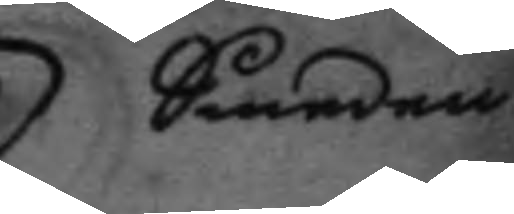Smeden
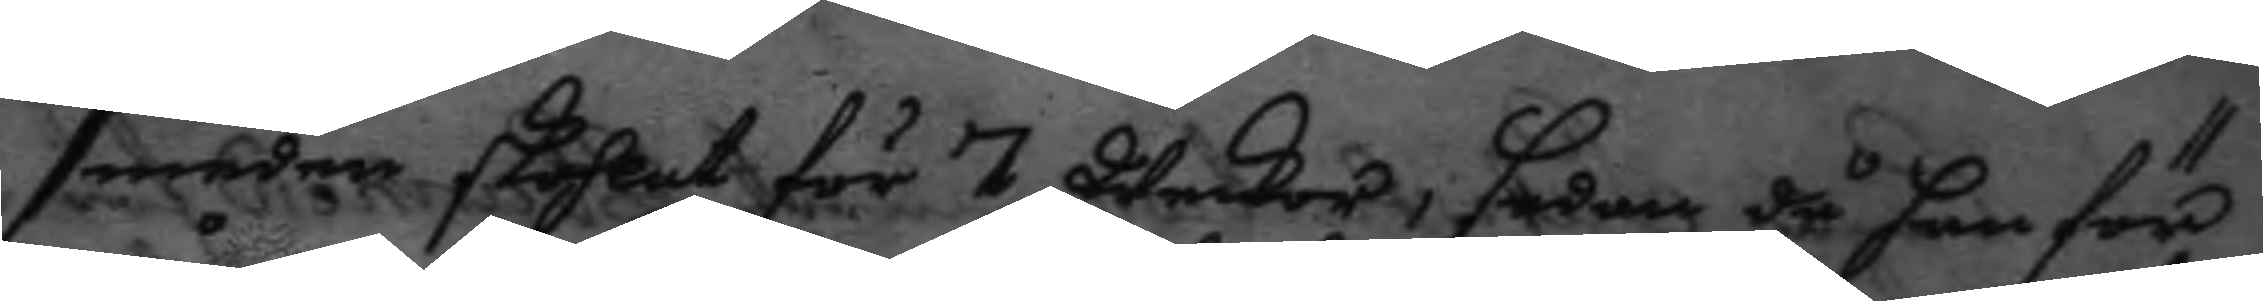smeden skohlat för 7 Weckor, sedan då han för
